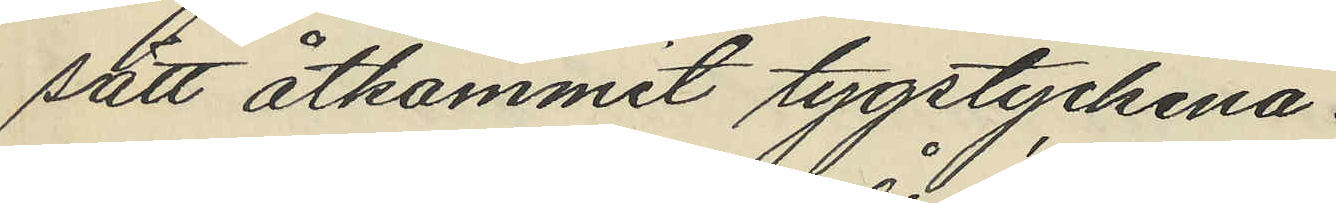sätt åtkommit tygstyckena.
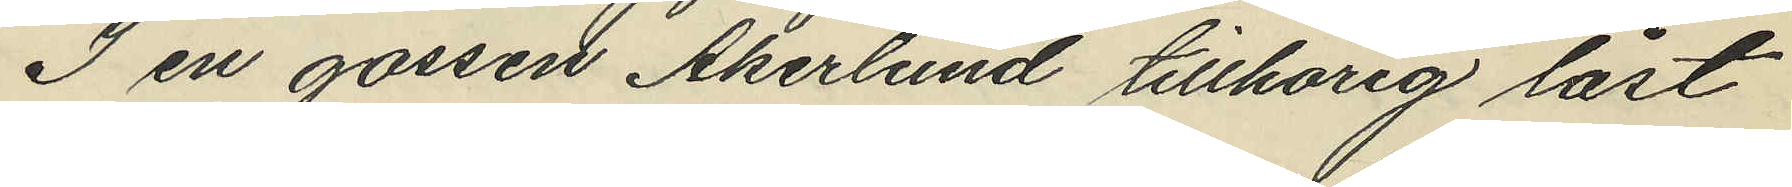I en gossen Åkerlund tillhörig låst
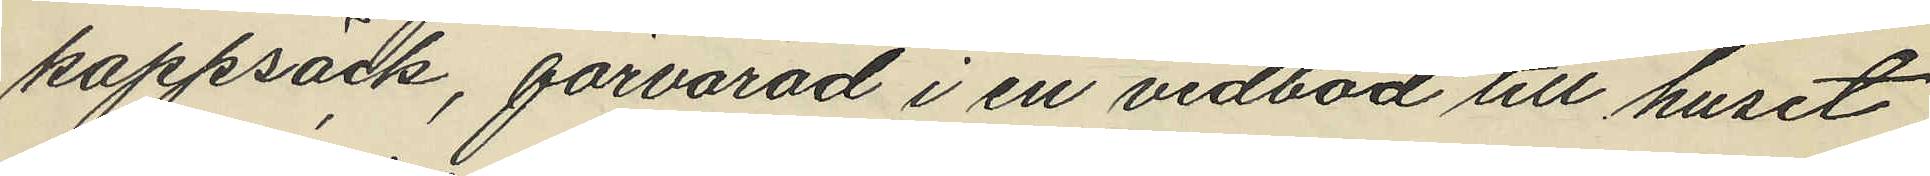kappsäck, förvarad i en vedbod till huset
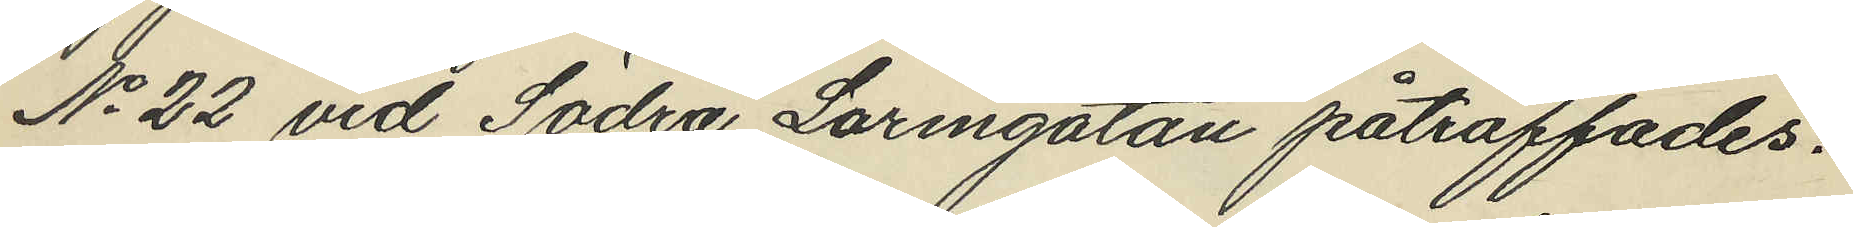No 22 vid Södra Larmgatan påträffades:
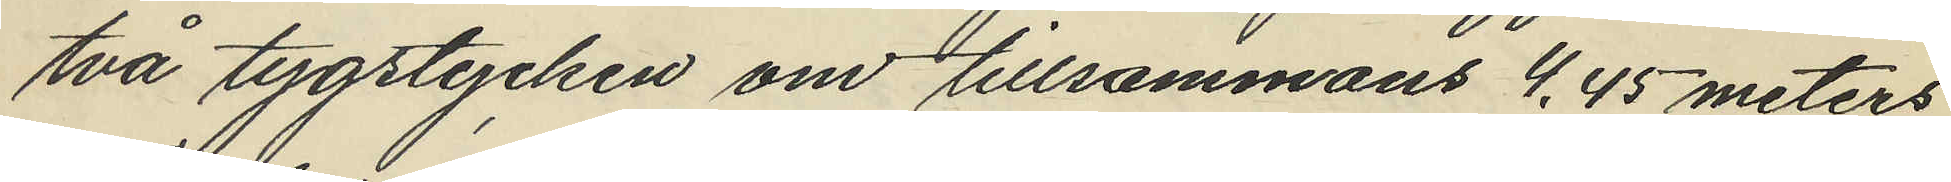två tygstycken om tillsammans 4,45 meters
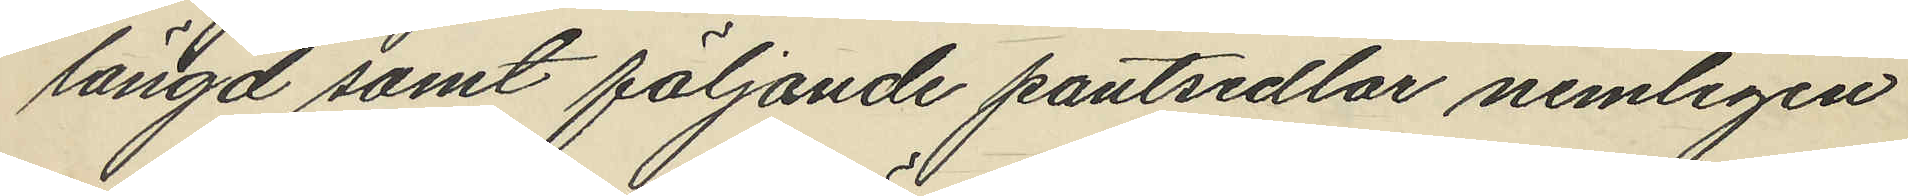längd samt följande pantsedlar nemligen
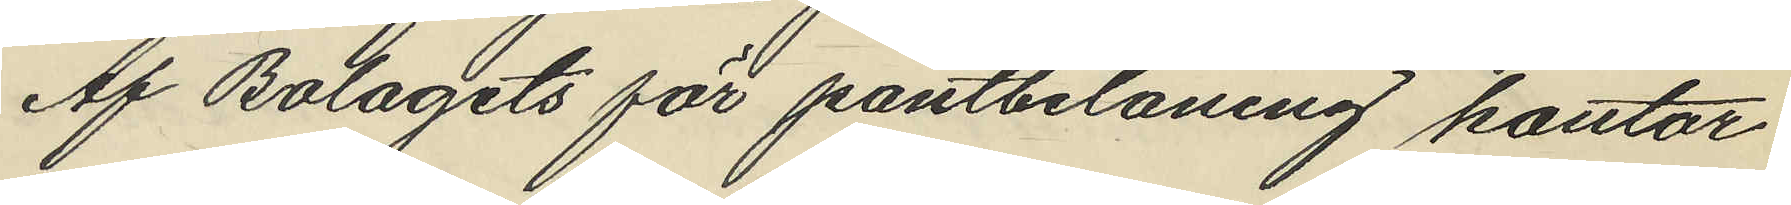Af Bolagets för pantbelåning kontor
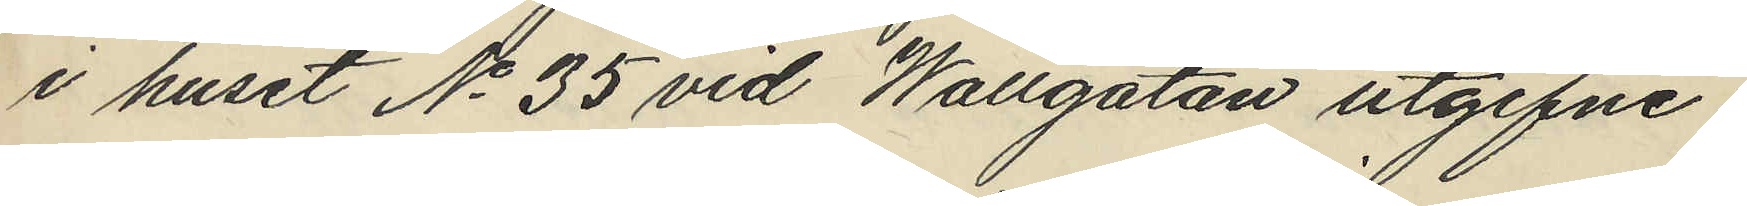i huset No 35 vid Wallgatan utgifne:
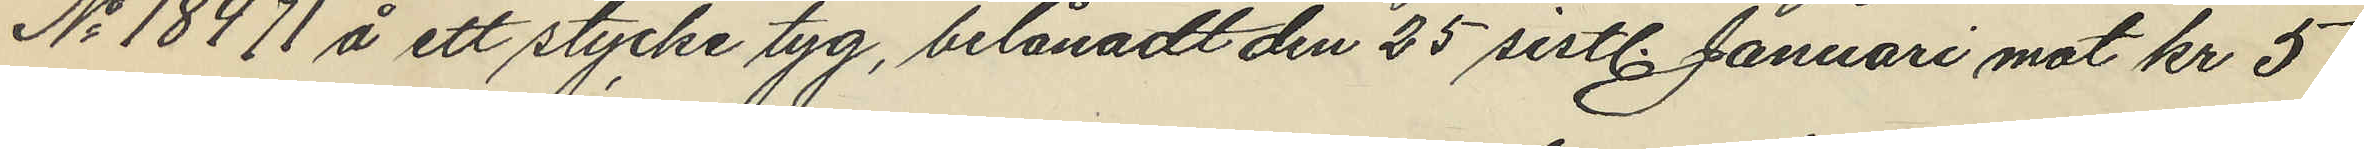No 18471 å ett stycke tyg, belånadt den 25 sistl. Januari mot kr 5
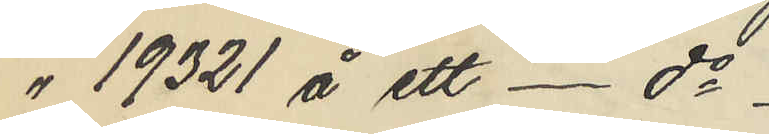" 19321 å ett - do
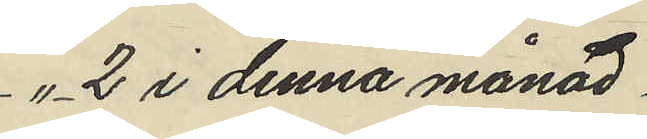"  2 i denna månad.
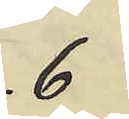6
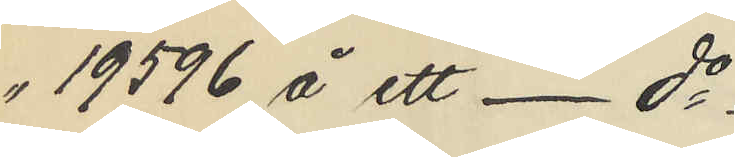" 19596 å ett - do
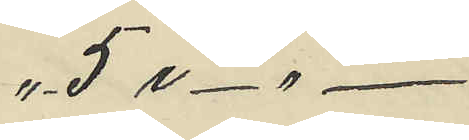" 5 i - " -
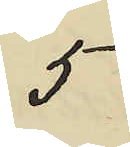5
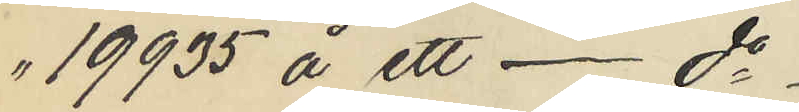" 19935 å ett - do
